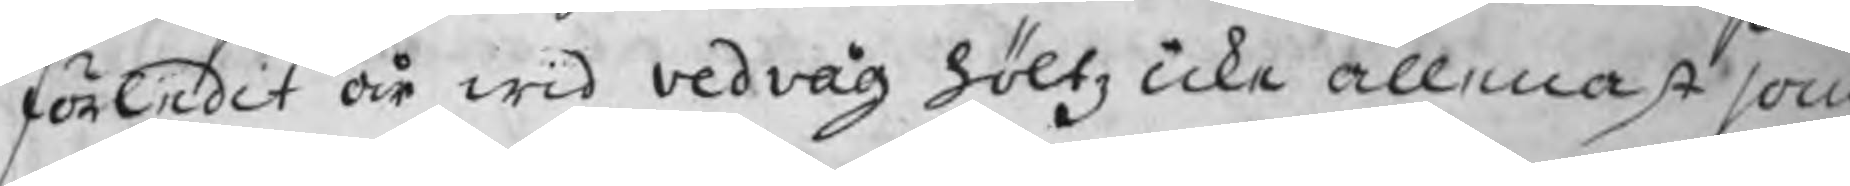förledit år wid vedvåg höltz icke allenast som
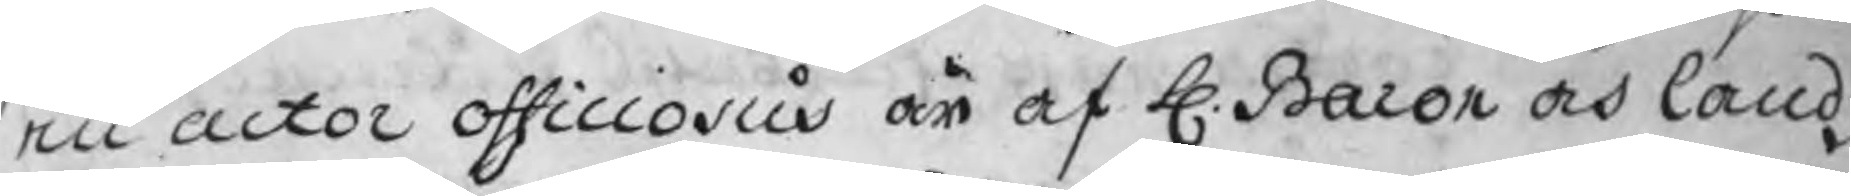en actor officiosus är af H. Baron och landz
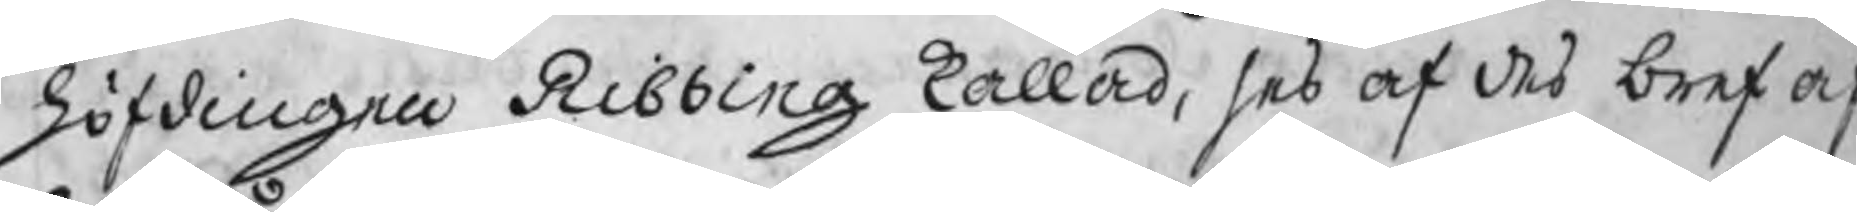höfdingen Ribbing kallad, ses af des bref af
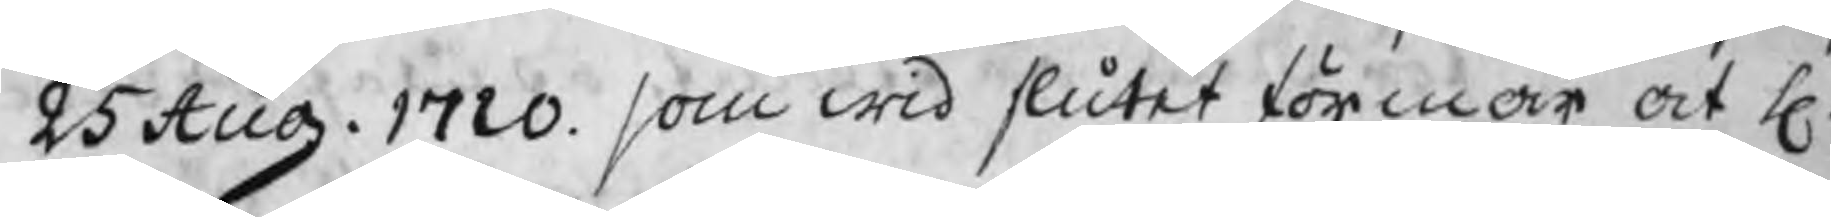25 Aug. 1720. som wid slutet förmår at H.
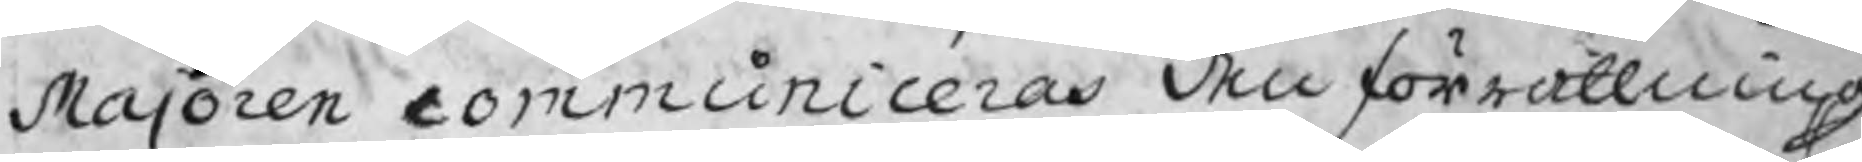Majoren communicerar den förrättning
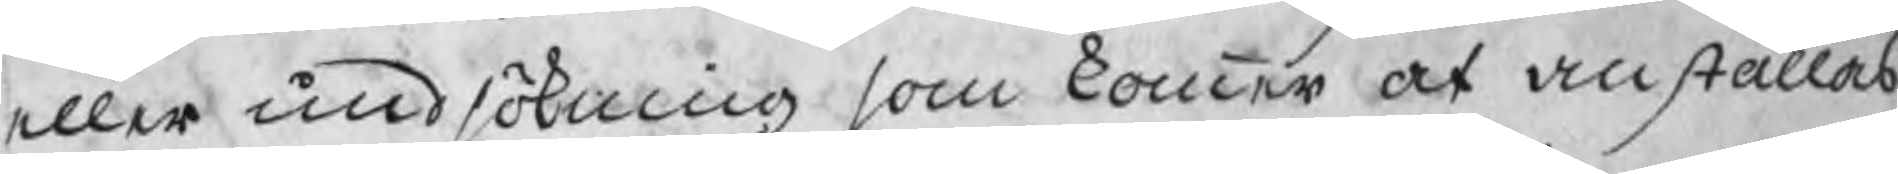eller undsökning som kommer at anställas
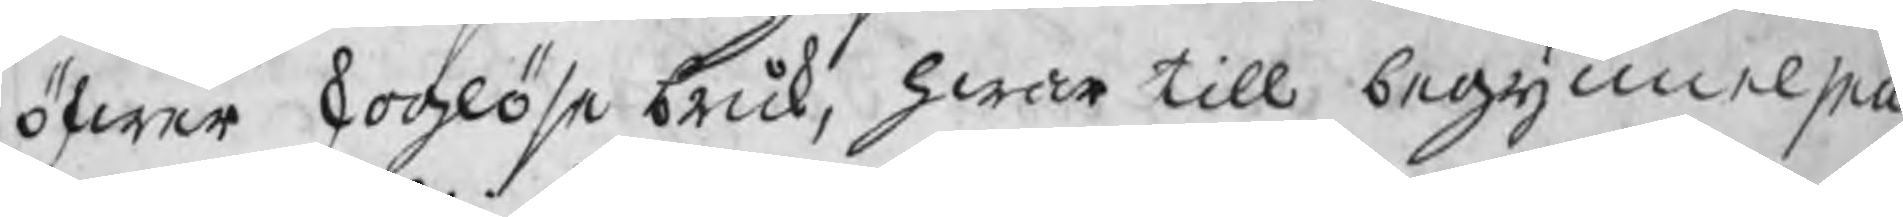öfwer skoglöse bruk, hwar till begynnelsen
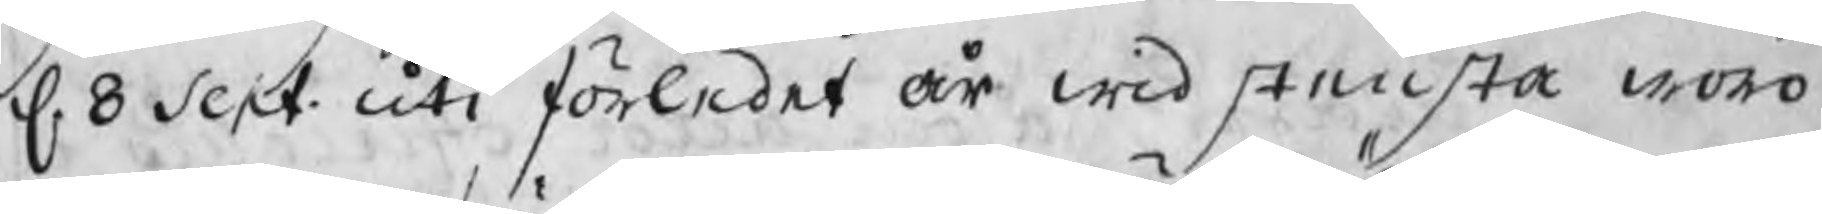d. 8 Sept. uti förledet år wid stedsta woro
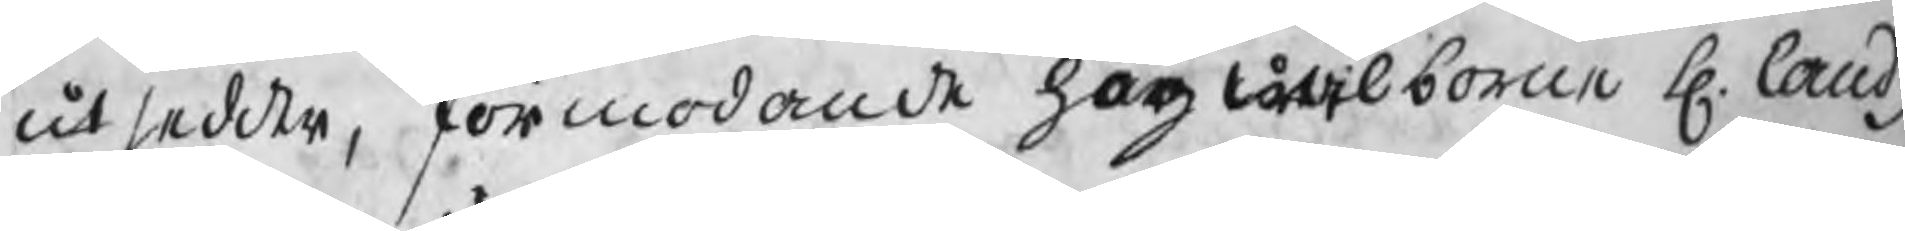utsedde, förmodande högwälborne H. landz
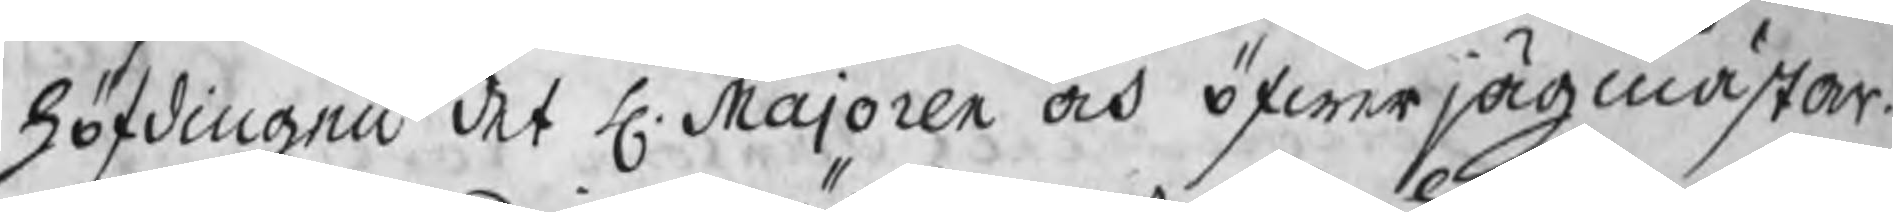höfdingen det H. Majoren och öfwerjägmästar.
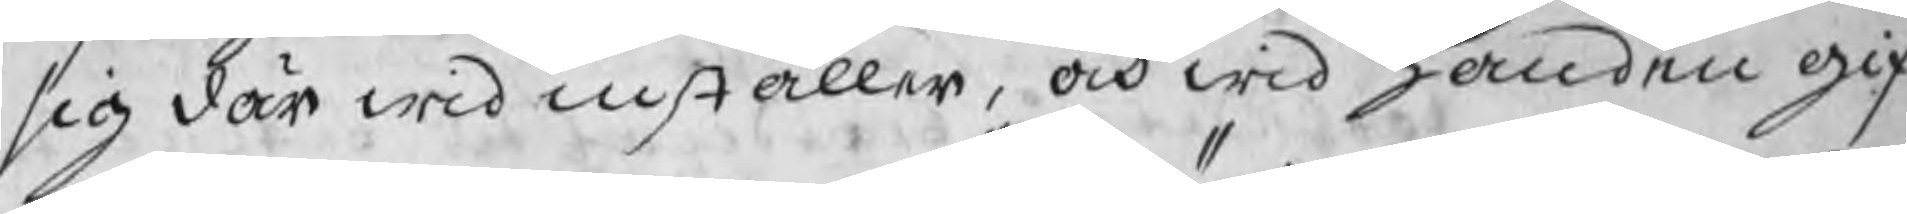sig där wid inställer, och wid handen gif
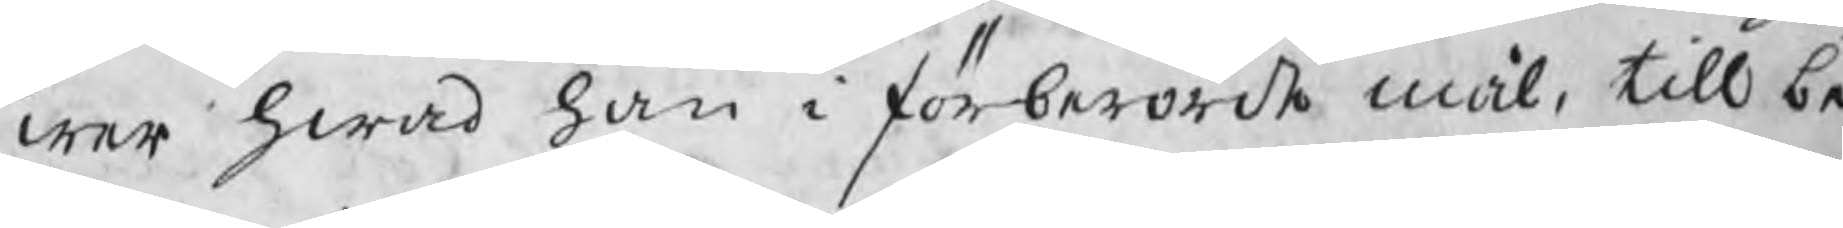wer hwad han i förberörde mål, till be
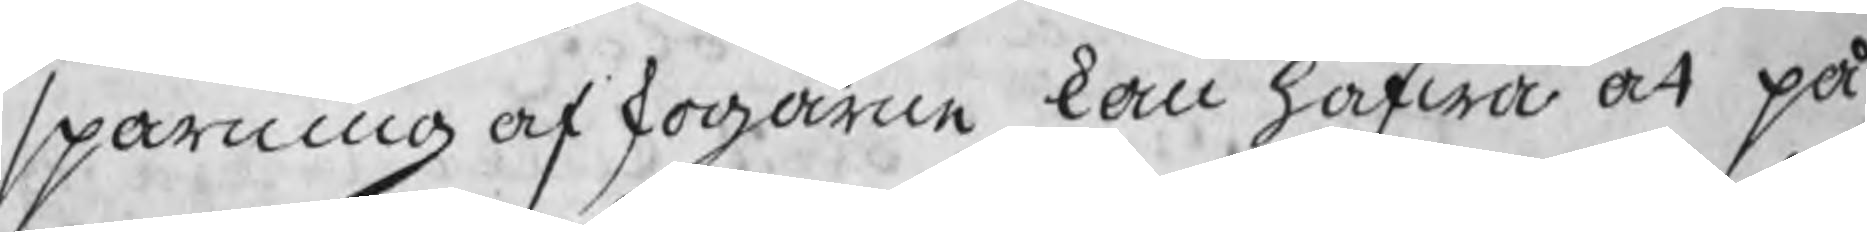sparning af skogarne kan hafwa at på
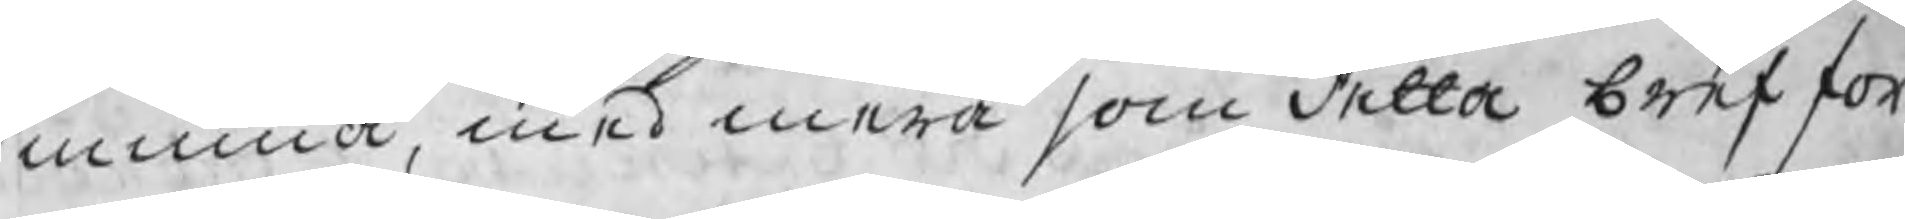minna, med mera som detta bref för
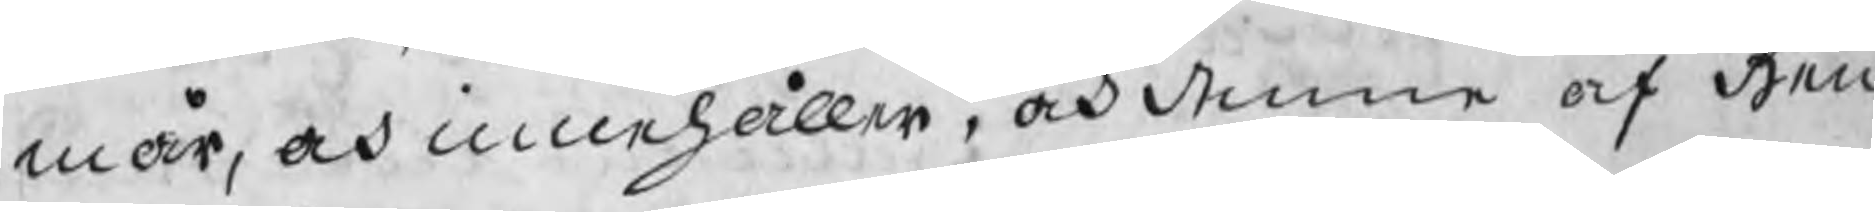mår, och innehåller, och denna af hen
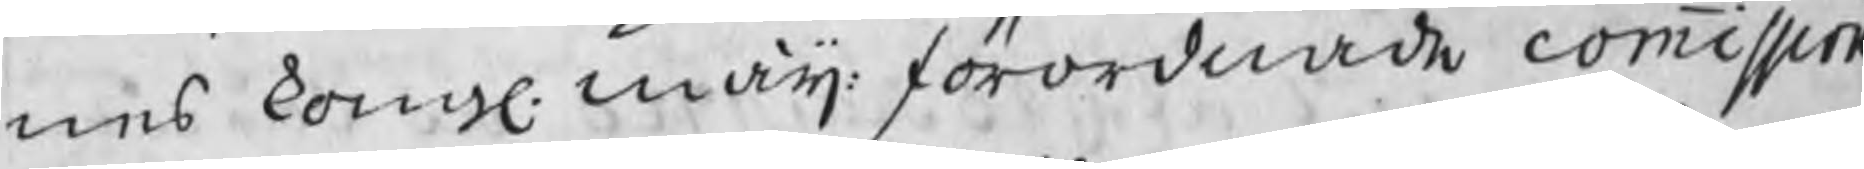nes kongl. maij: förordnade commission
